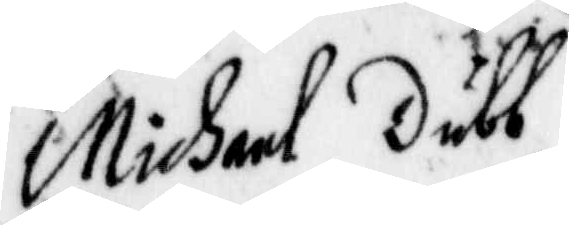Michael Dubb,
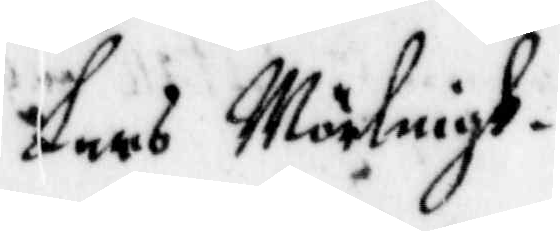Lars Mörlingh.
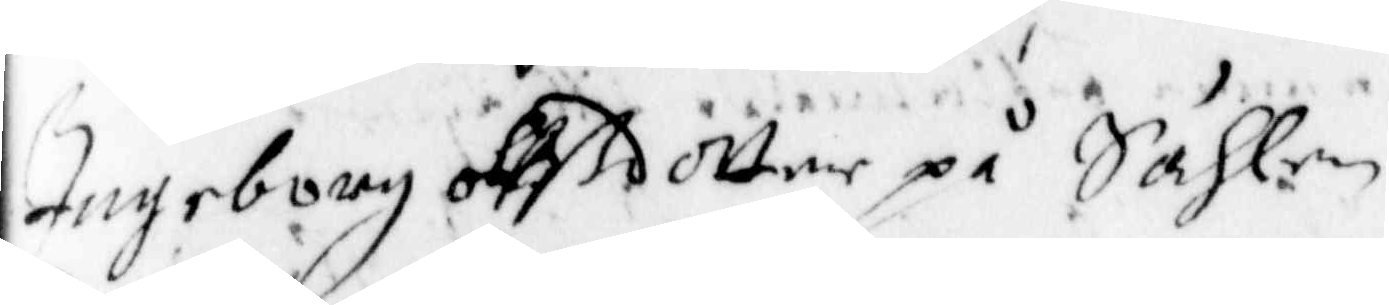Ingeborg Ollßdotter på Sählen
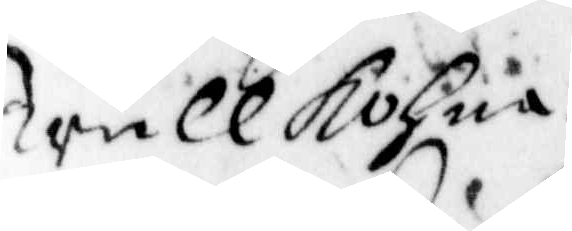trullkohna
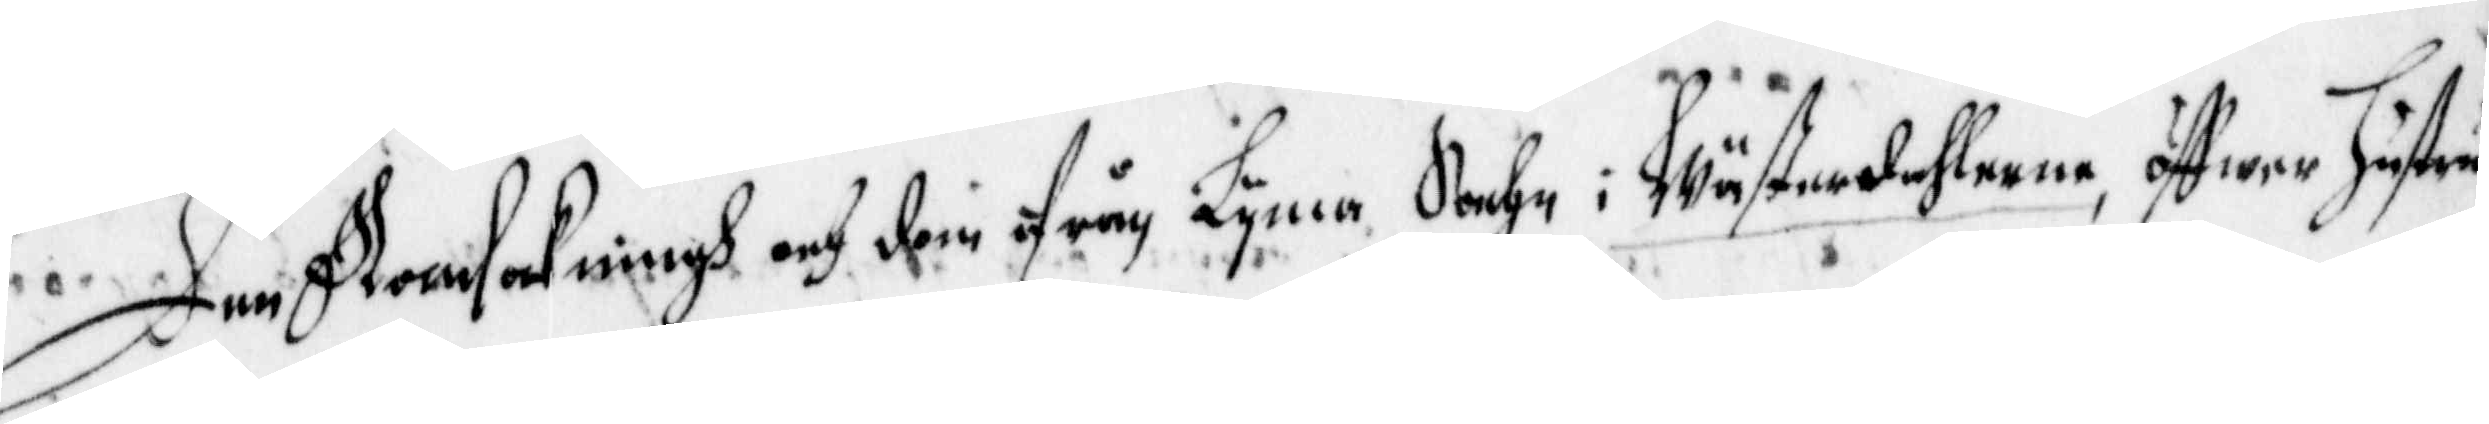Den Ransakningh och dom ifrån Lyma Sochn i Wästerdahlarne, öffwer hustru
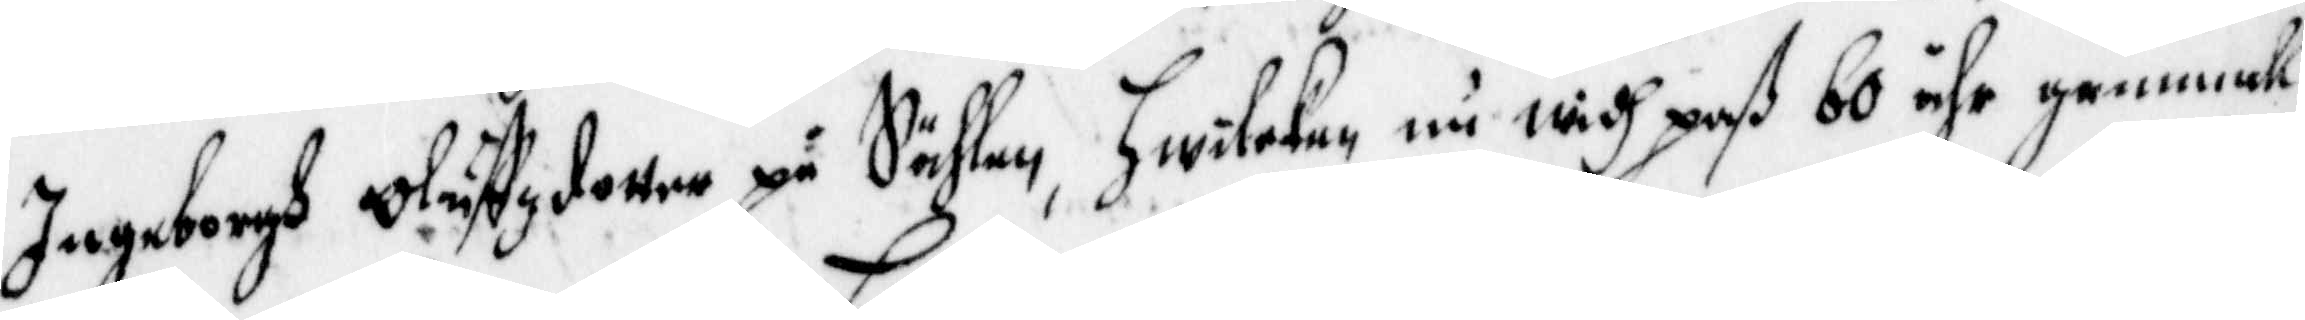Ingeborgh Oluffzdotter på Sählen, hwilken nu widh paß 60 åhr gammal, 
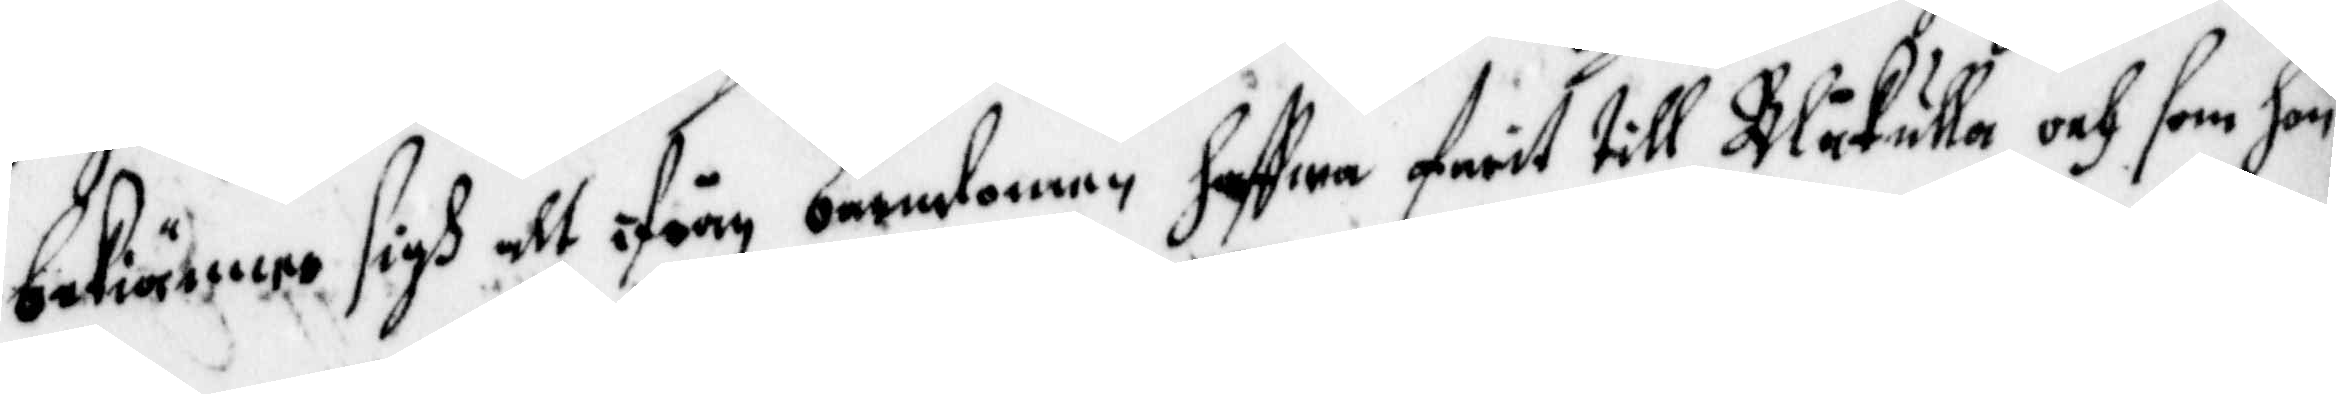bekiänner sigh att ifrån barndomen haffwa farit till Blåkulla och som hon
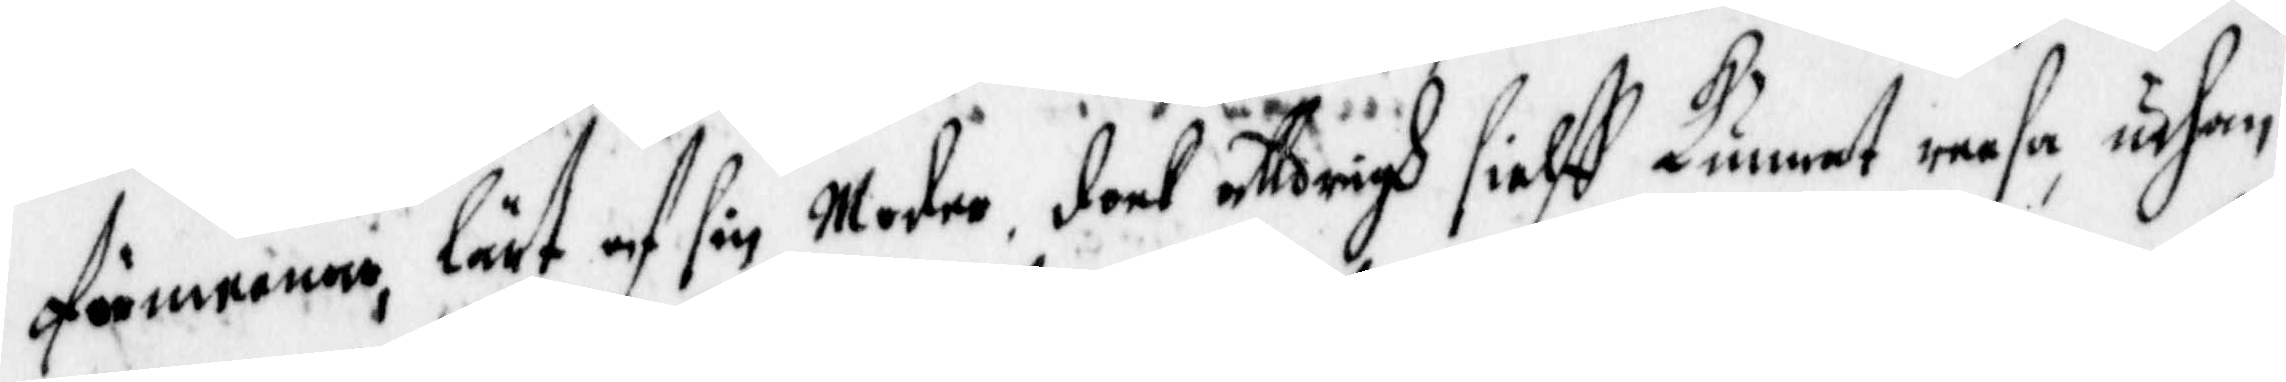förmenar, lärt af sin Moder, dock alldrigh sielff Kunnat reesa, uthan
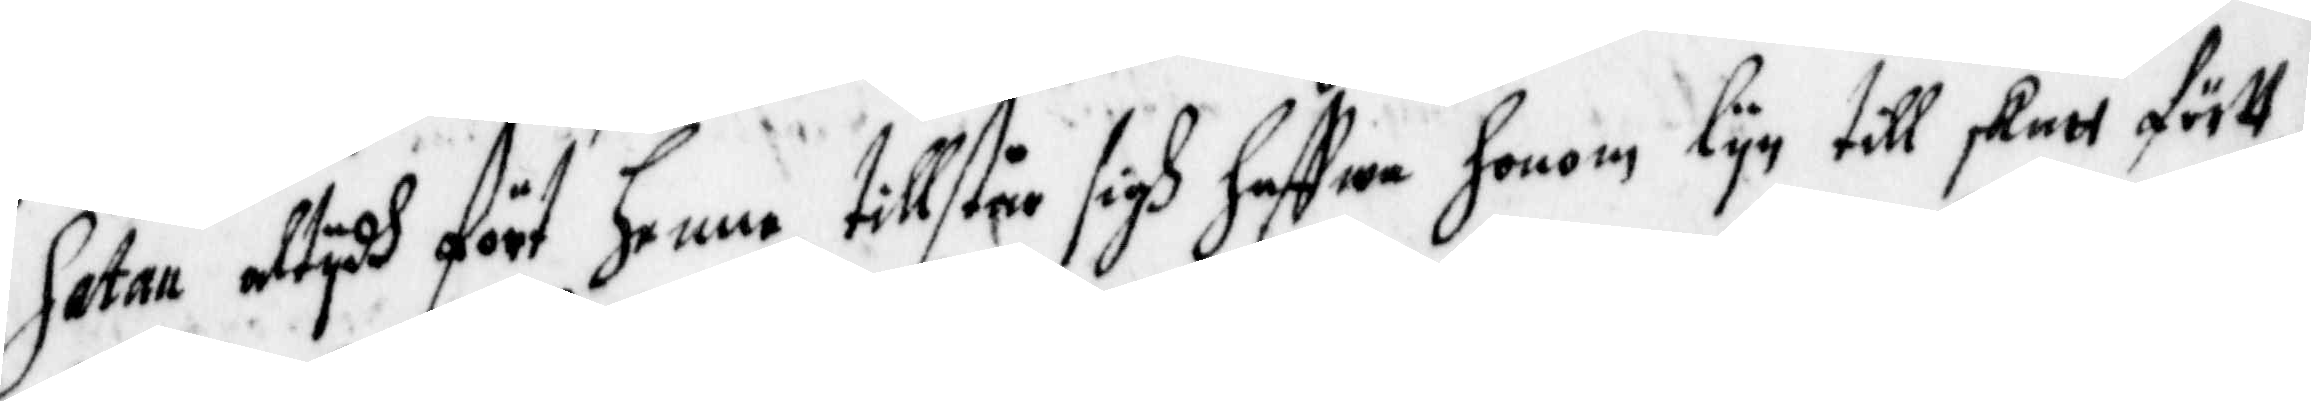Satan altydh fört henne, tillstår sigh haffwa honm lyn till skatt först
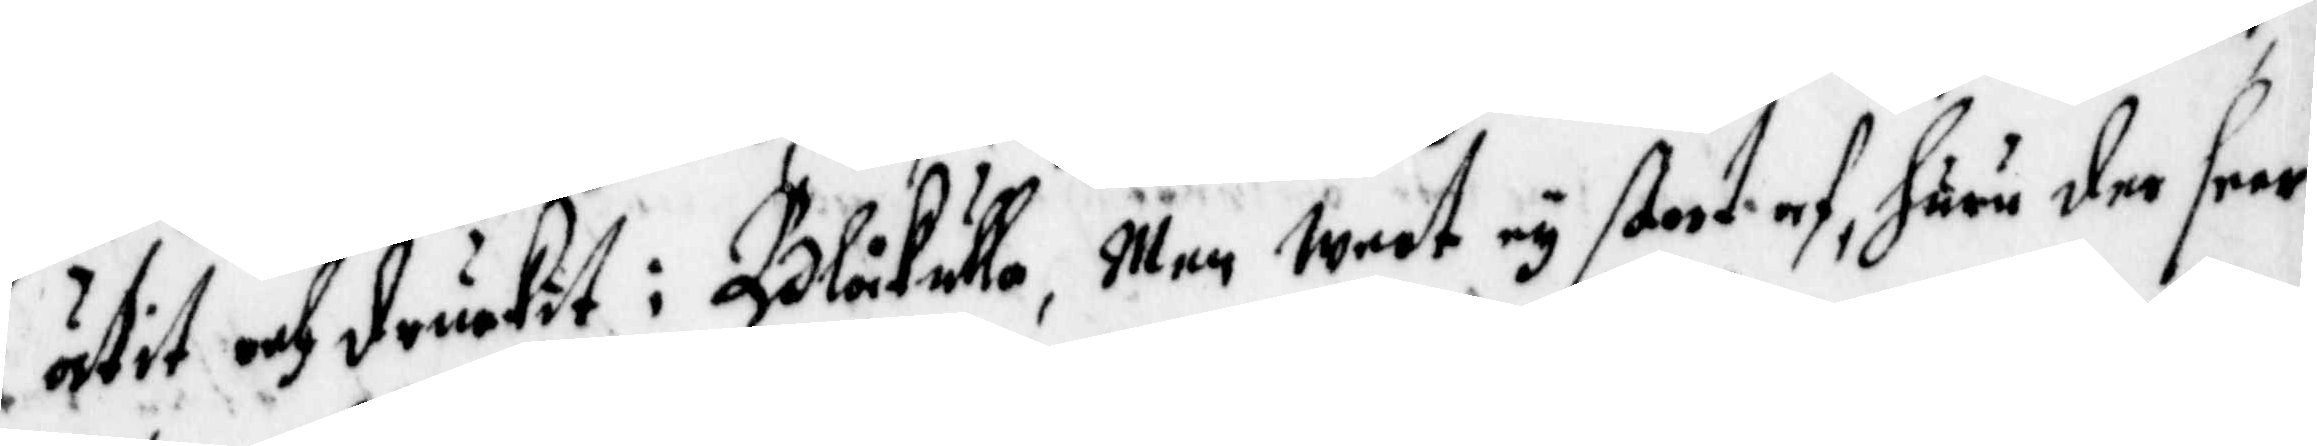ätit och druckit i Blåkulla, Men weet ey stort af, huru der seer
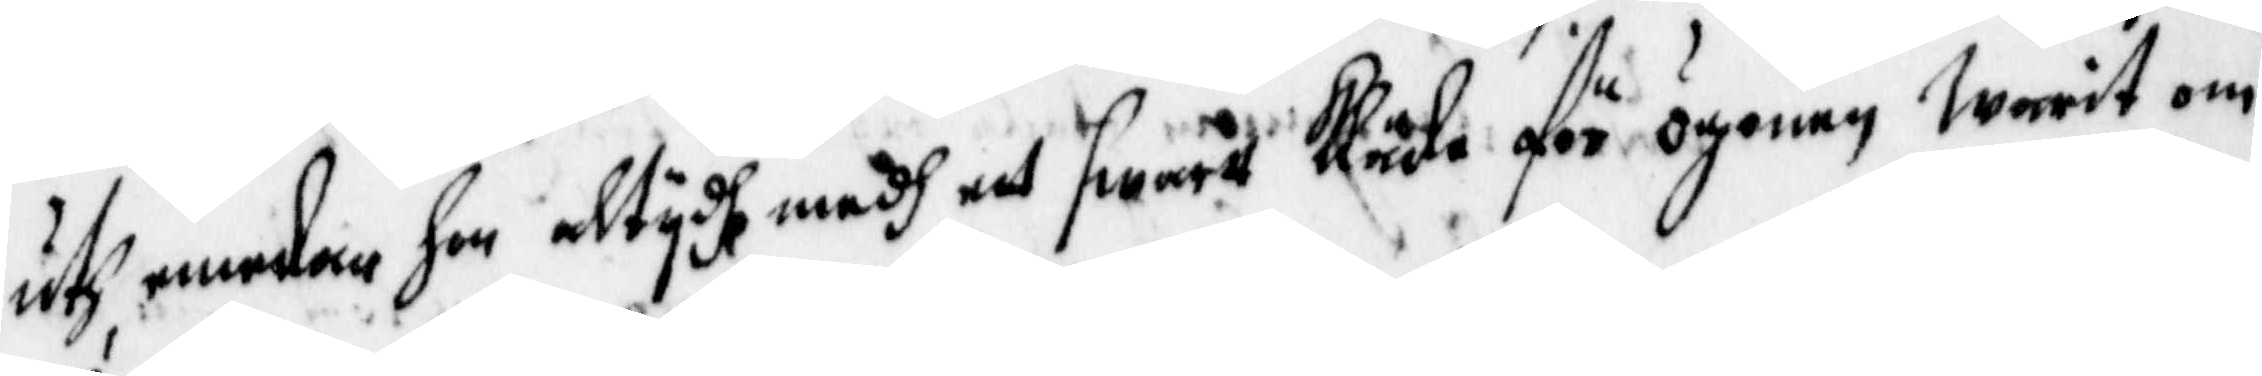uth, emedan hon altydh medh ett swartt Kläde för ögonen warit om¬
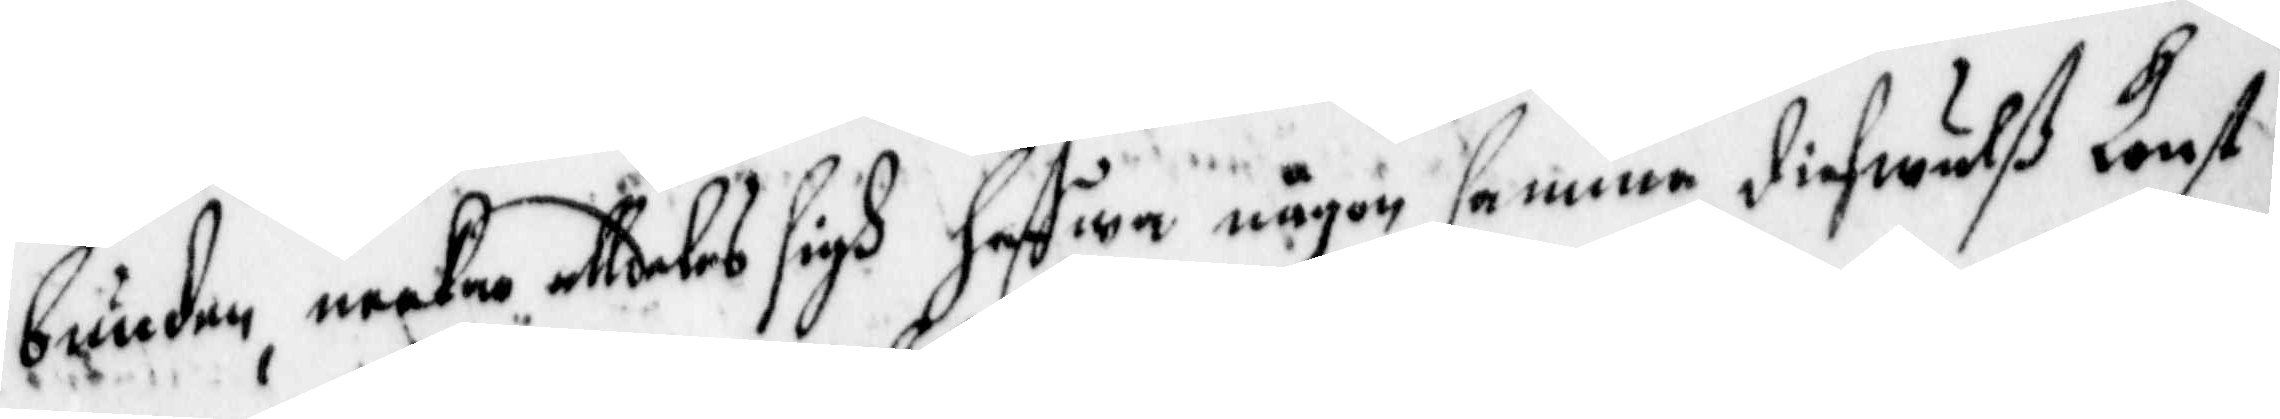bunden, neekar alldeles sigh haffwa någon samma diefwulß konst
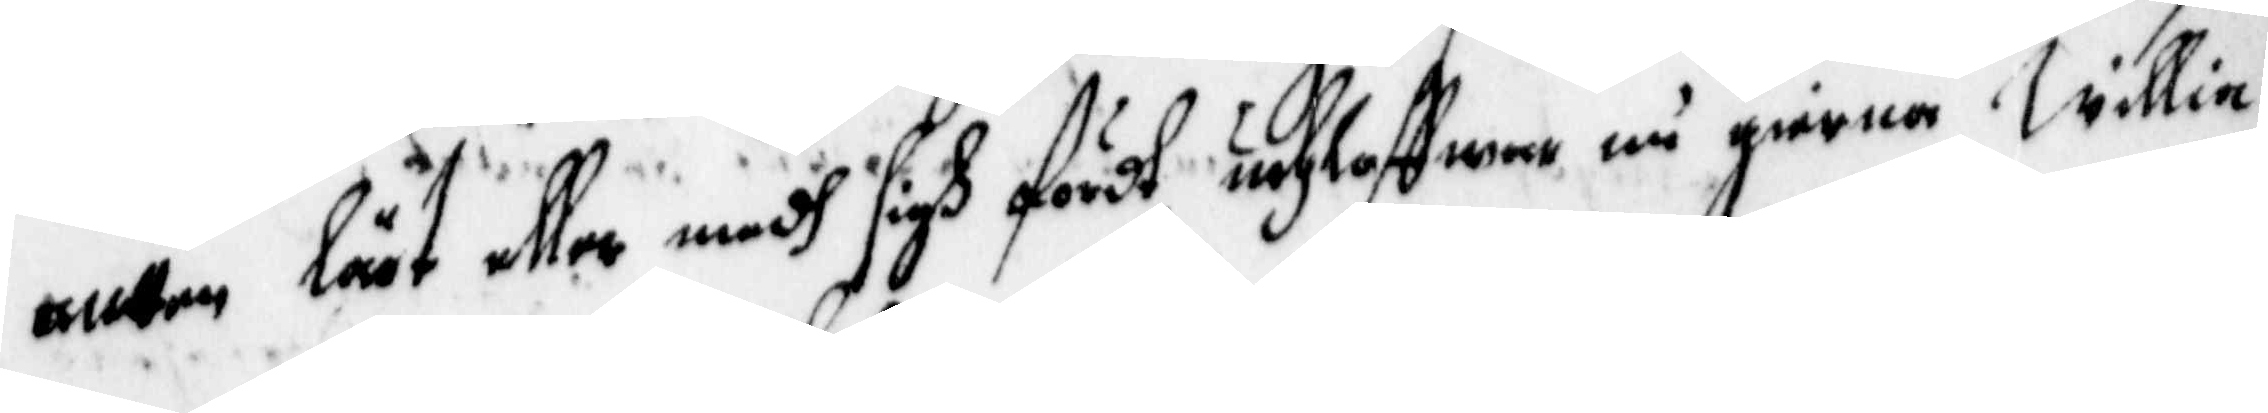antten lärt eller medh sigh fördt, och loffwar nu gierna Willia
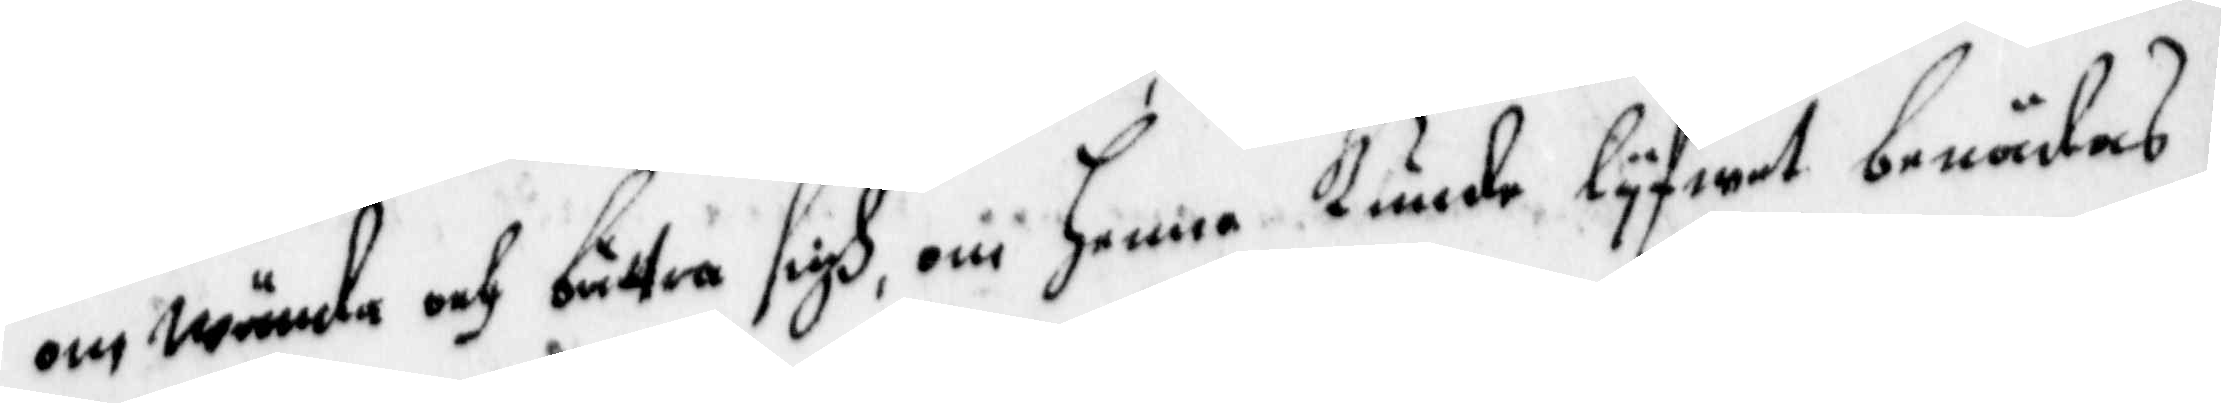omwända och bättra sigh, om henne kunde lyfwet benådas.
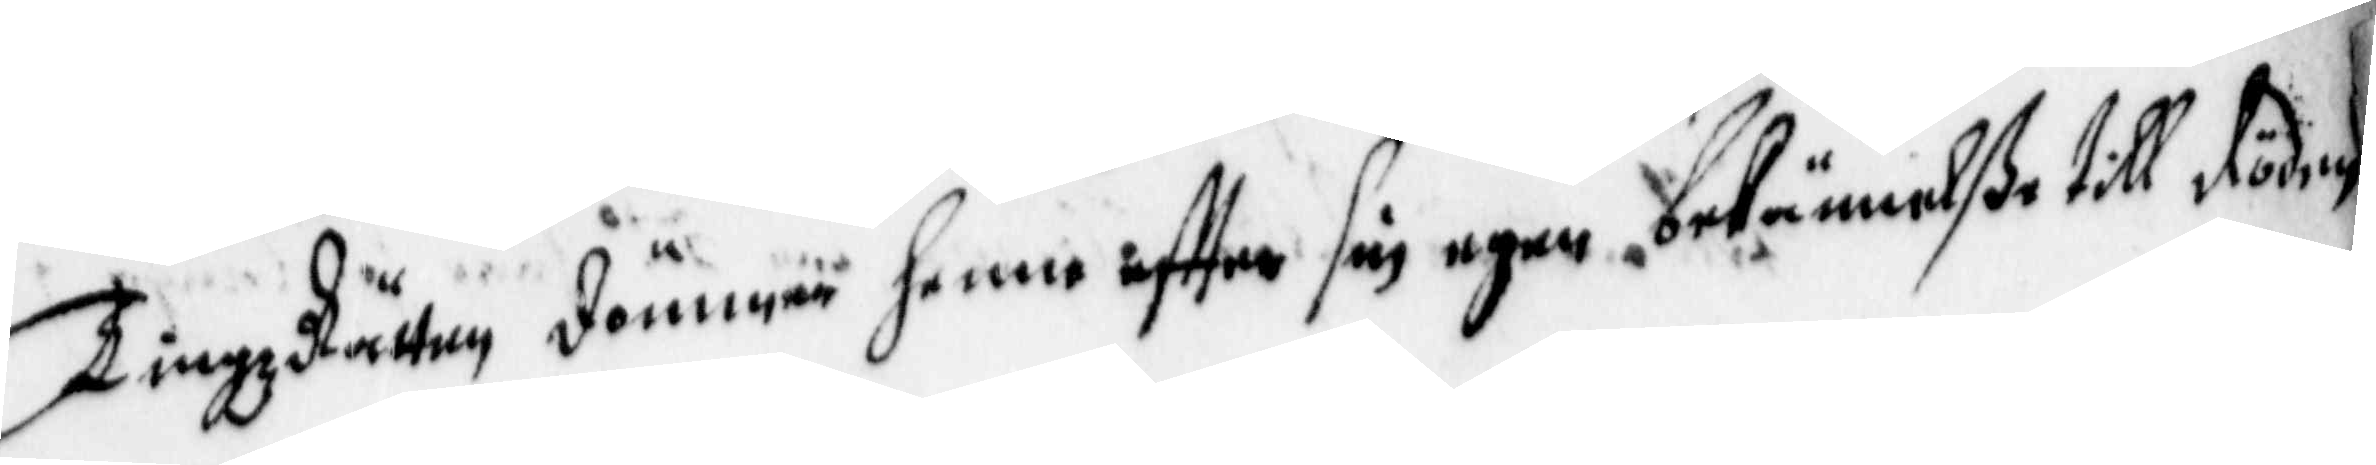TingzRätten dömmer henne effter sin egen bekännelße till döden
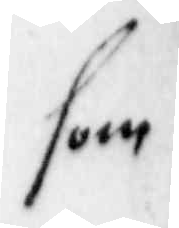som
